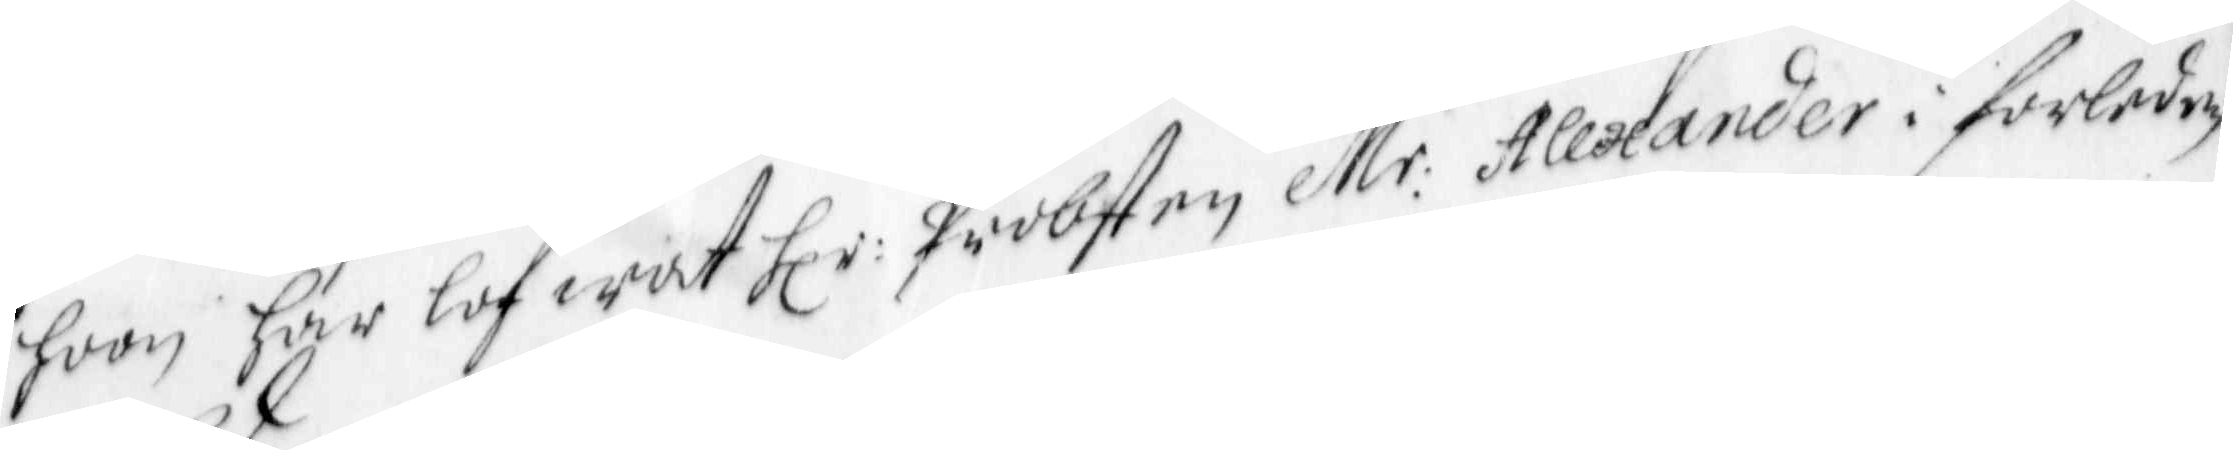hoon har lofwat Hl:r Probsten Mr Alexander i forleden
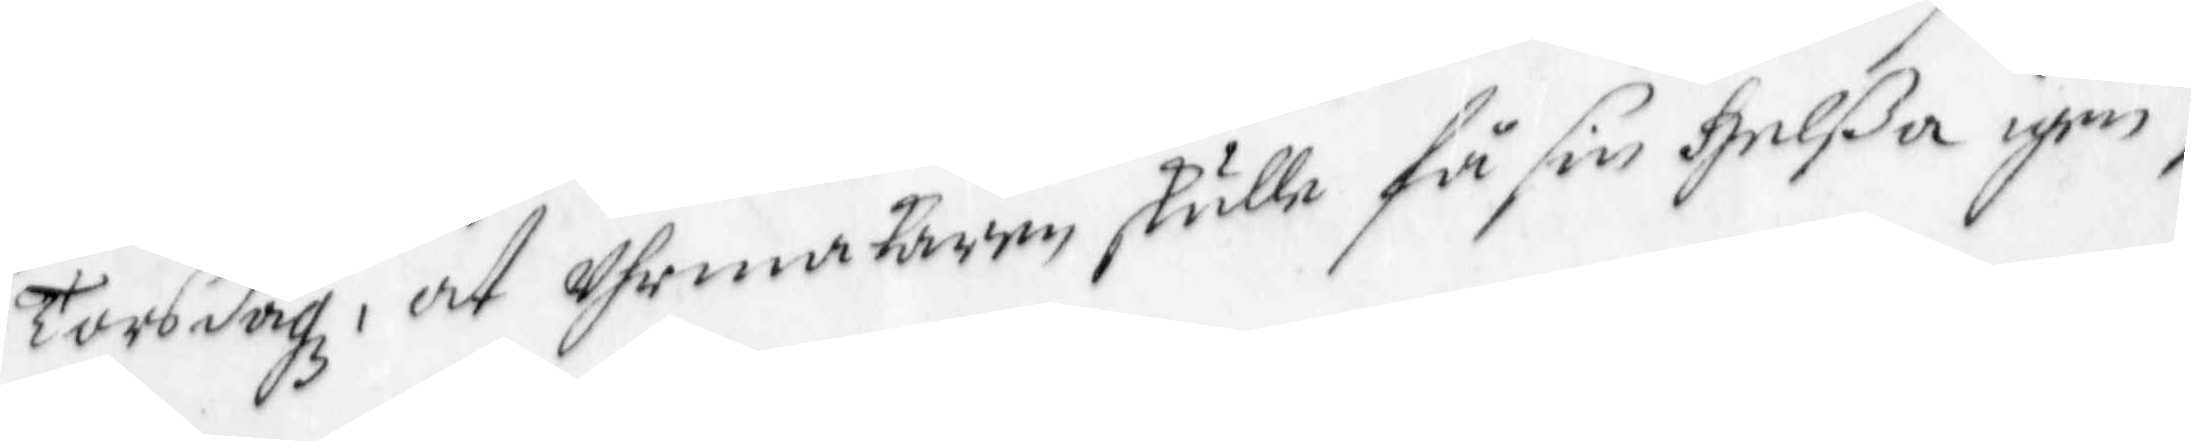Torsdagz, at Uhrmakaren skulle få sin helßa igen,
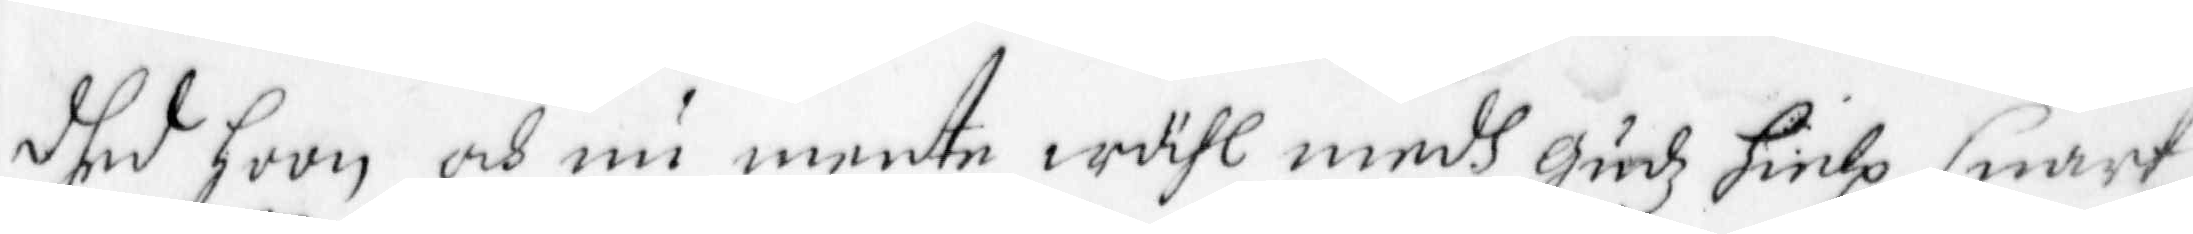dhed hoon och nu mente wähl medh gudz hielp snart
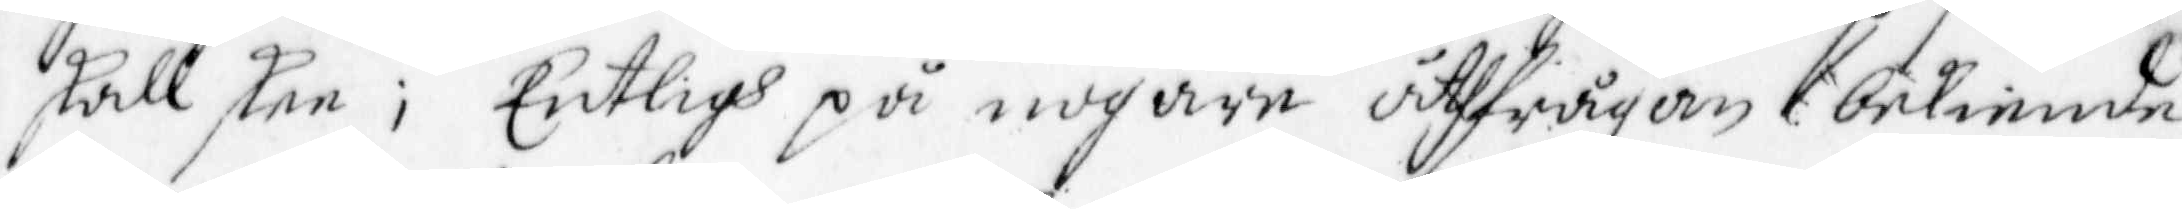skall skee; Entligh på nogare uthfrågan bekiende
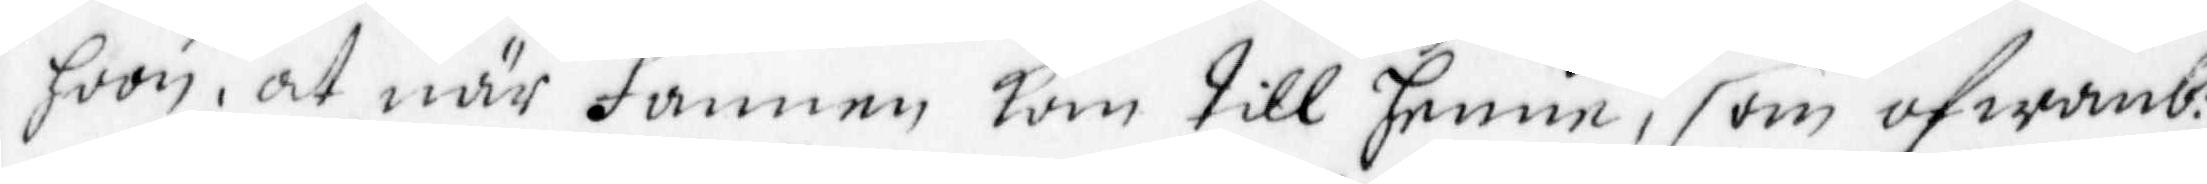hoon, at när Fannen kom till henne, som ofwanb:t
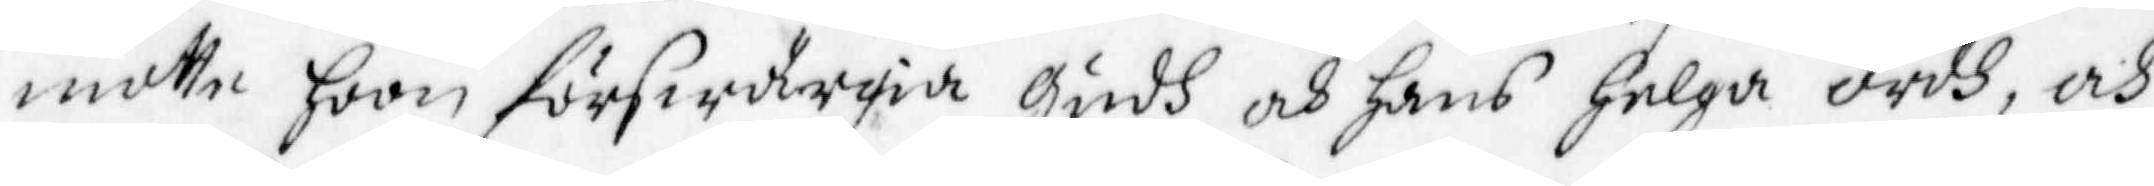motte hoon förswärgia gudh och hans helga ordh, och
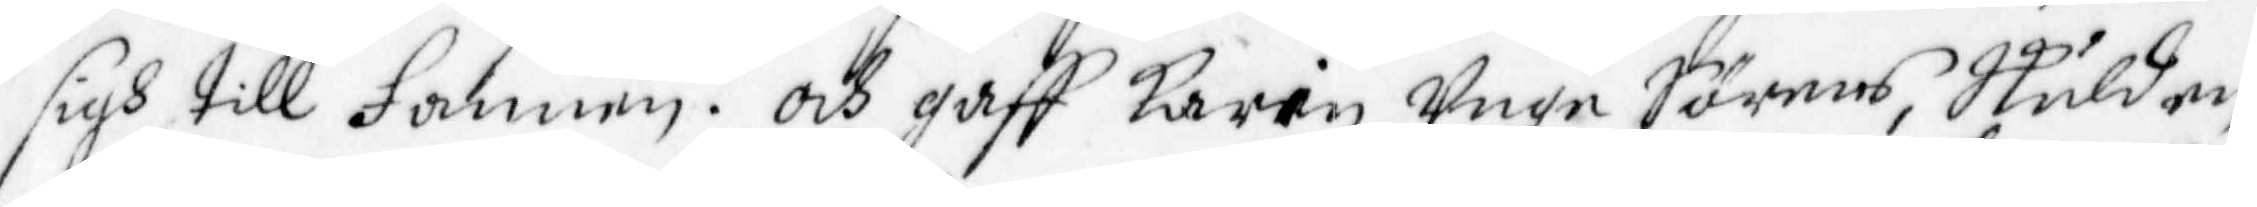sigh till Fannen. och gaff Karin Unge Sörens, Skulden,
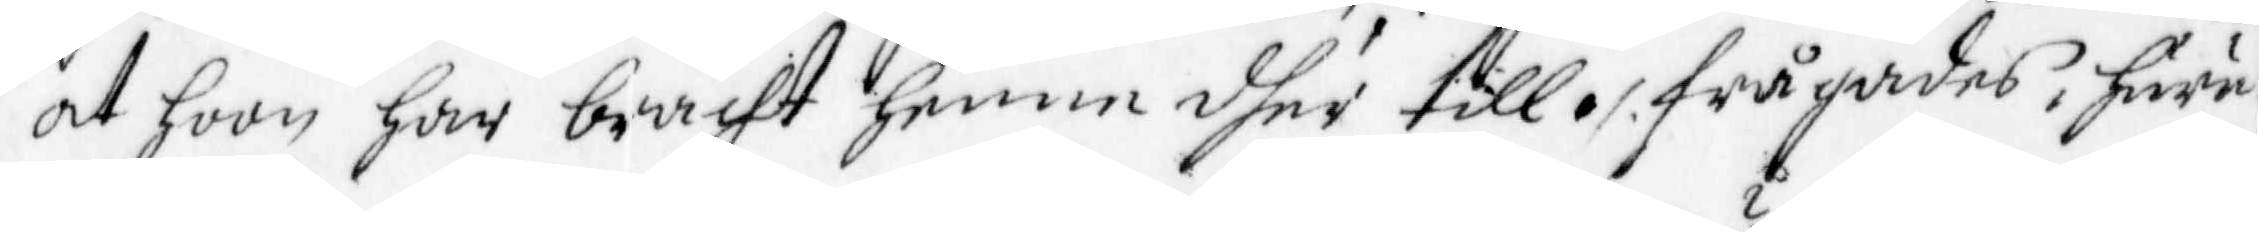at hoon har bracht henne dher till ./. frågades, huru
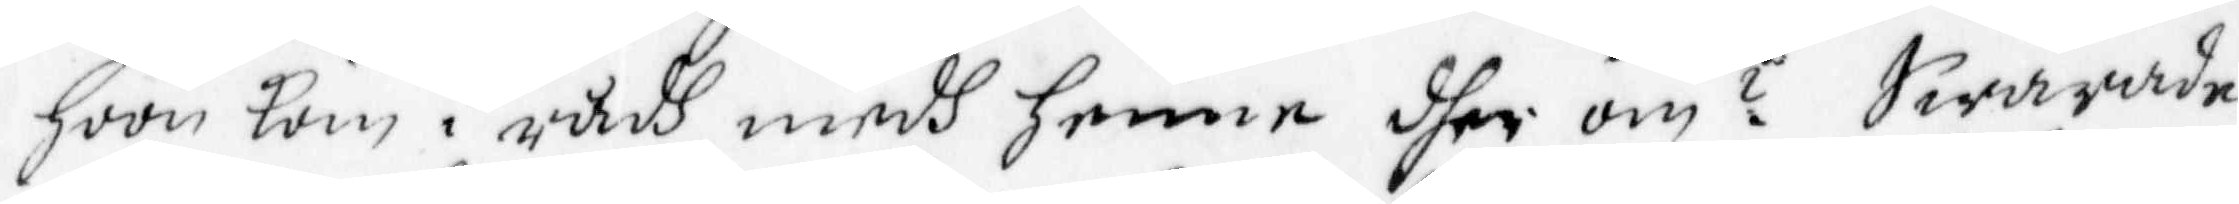hoon kom i rådh medh henne dher om? Swarade
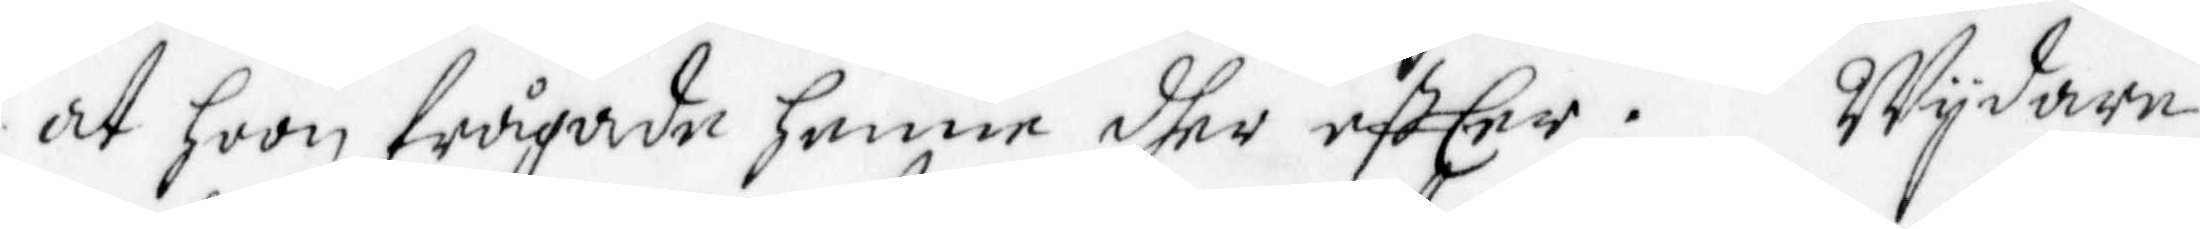at hoon frågade henne dher eftEer. Wydare
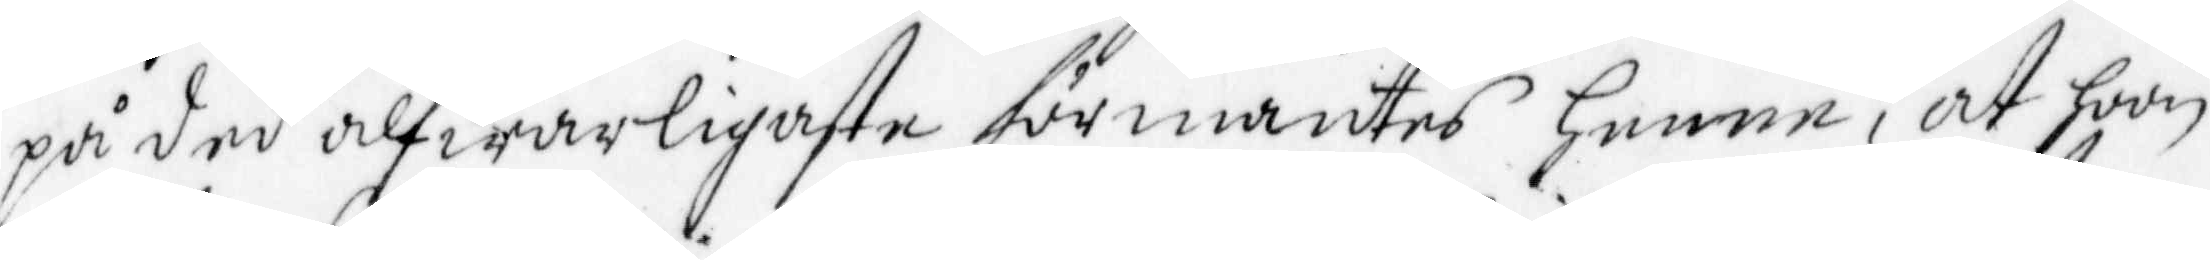på ded alfwarligaste förmantes henne, at hoon
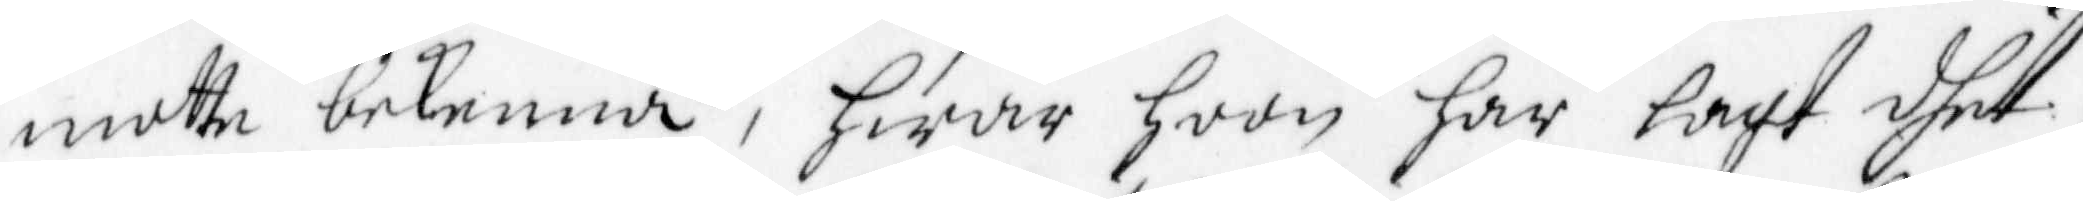motte bekenna, hwar hoon har lagt dhet,
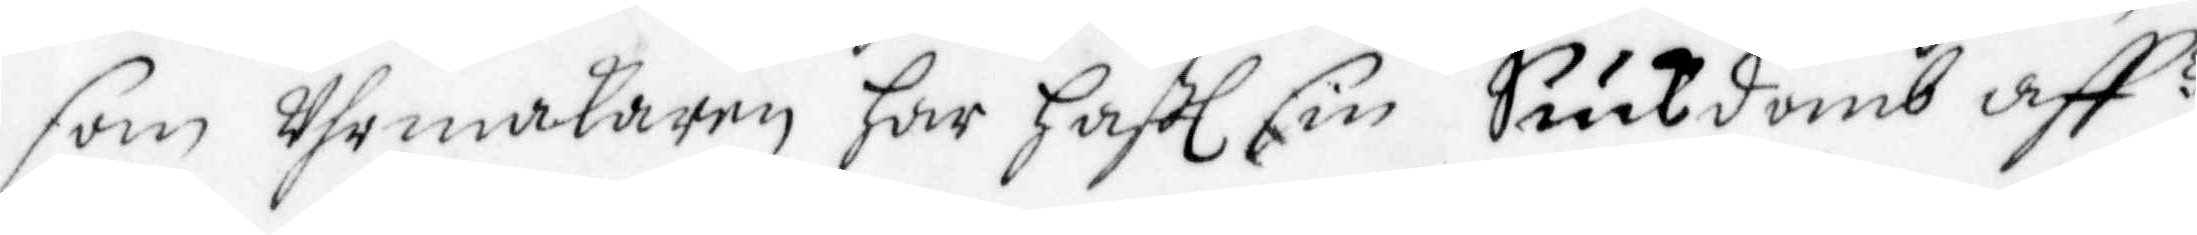som Uhrmakaren har haftl sin Suckdomb aff?
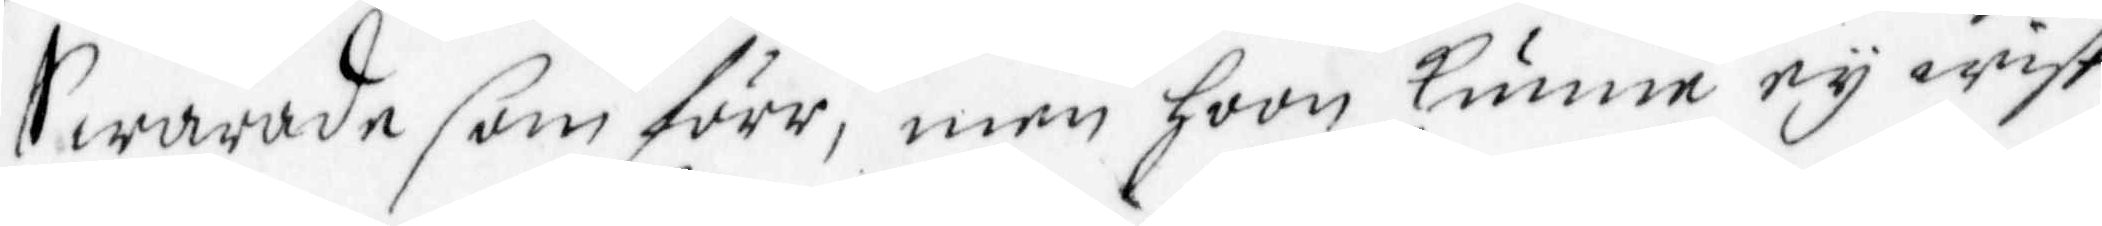Swarade som förr, men hoon kunne ey wist
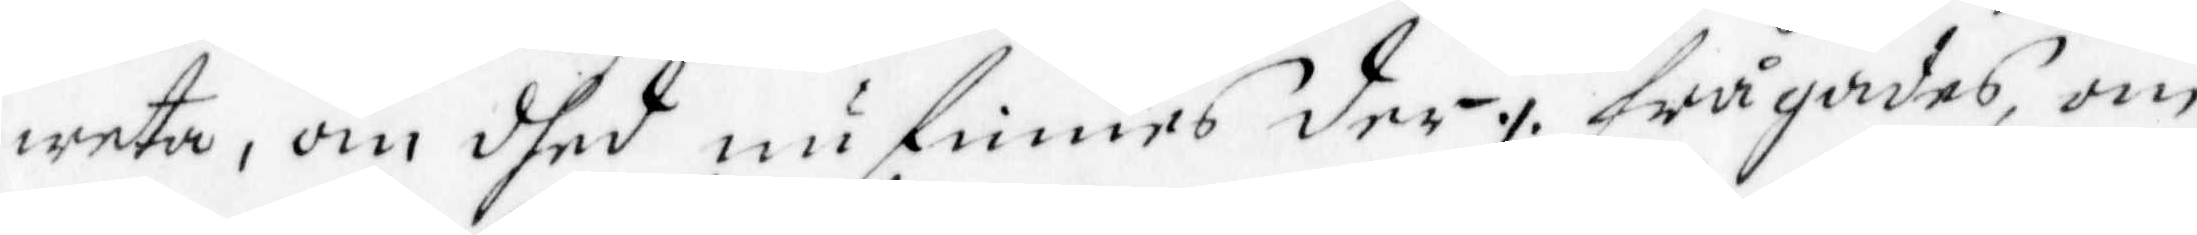weta, om dhes nu finnes der ./. frågades, om
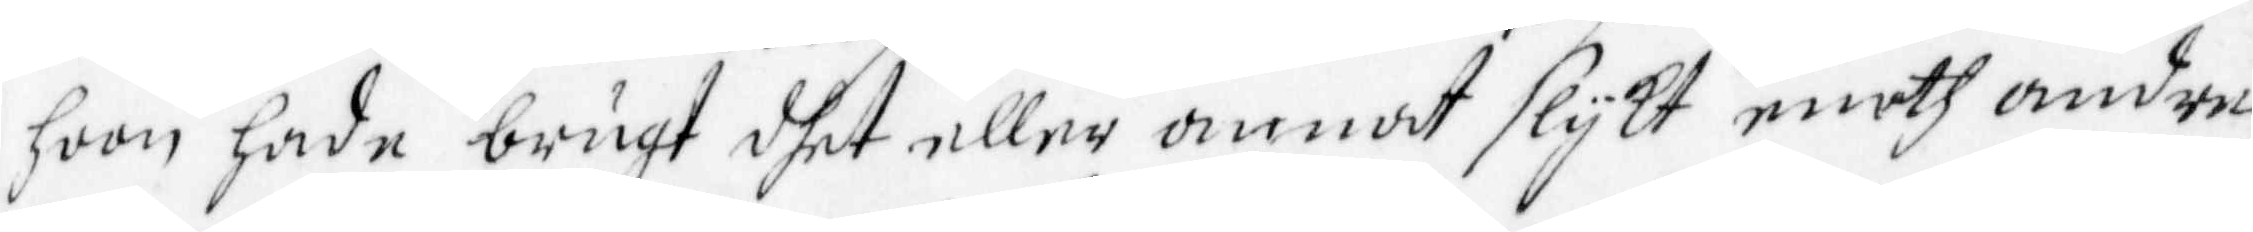hoon hade brugt dhet eller annat slykt emoth andre
